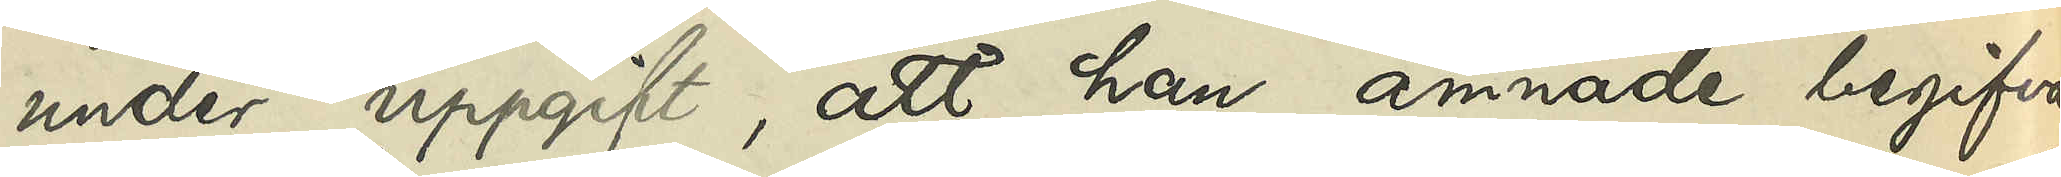under uppgift, att han ämnade begifva
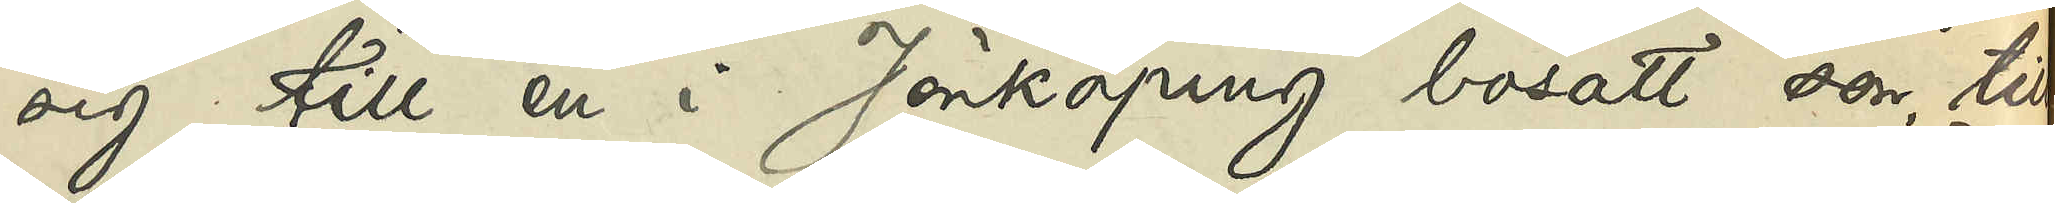sig till en i Jönköping bosatt son, till
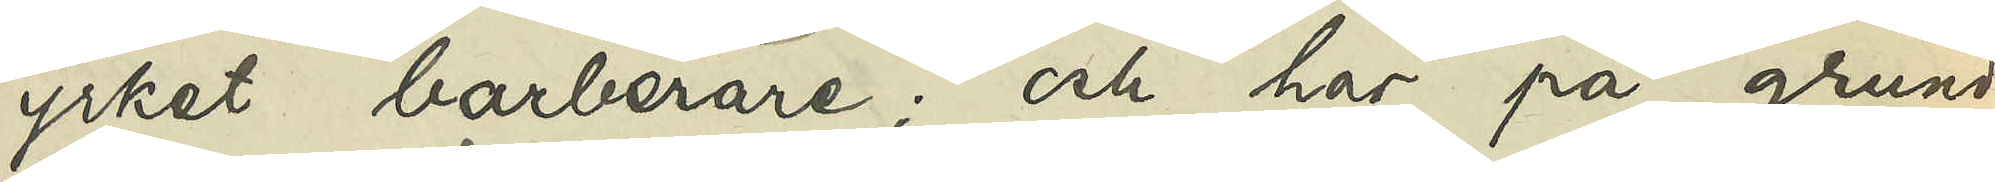yrket barberare; och har på grund 
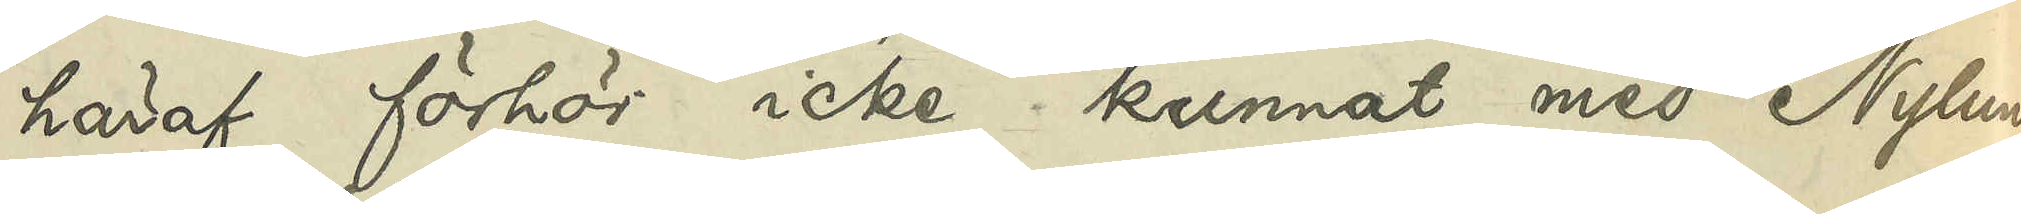häraf förhör icke kunnat med Nylund
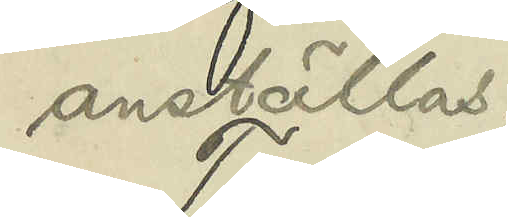anställas.
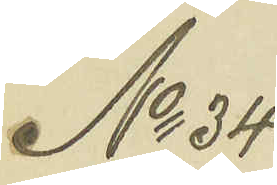No 34
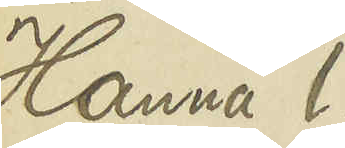Hanna l.
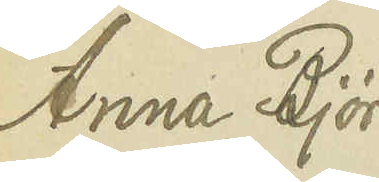Anna Björ¬
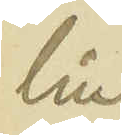lin
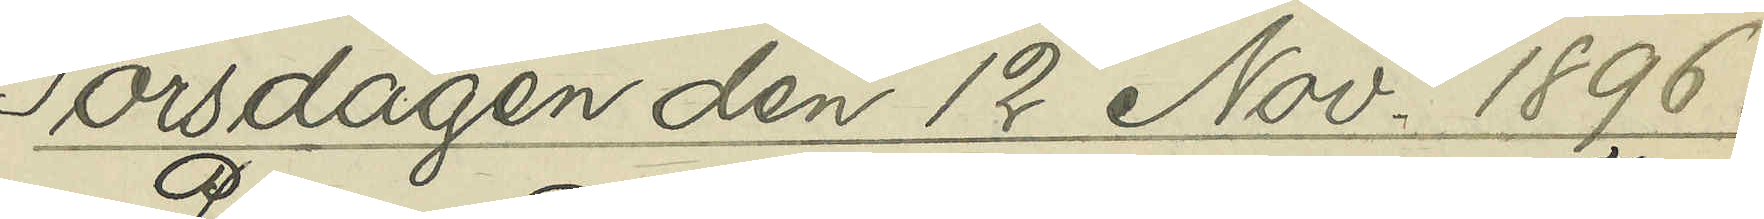Torsdagen den 12 Nov. 1896.
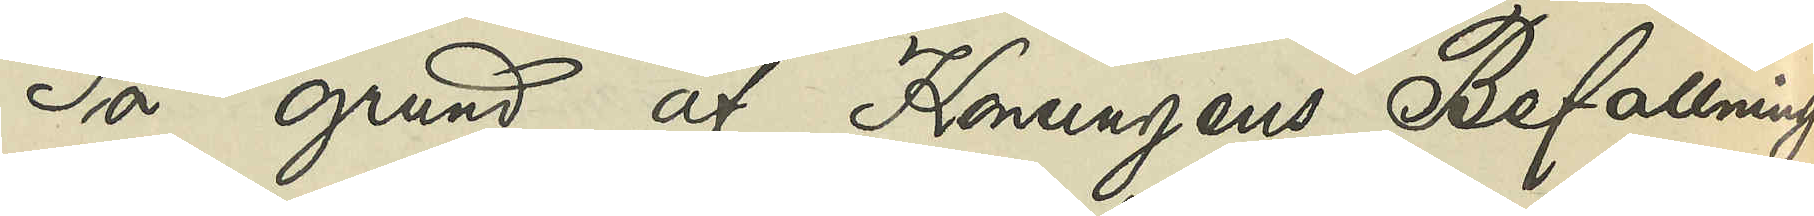På grund af Konungens Befallning¬
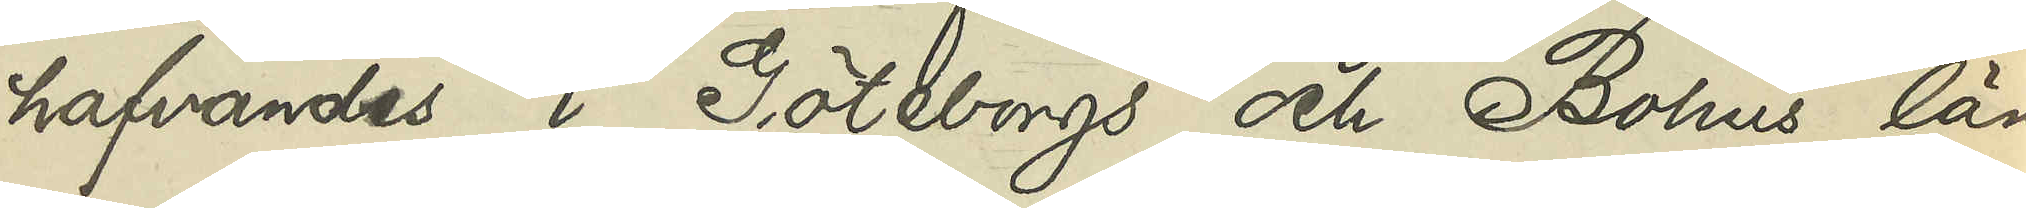hafvandes i Göteborgs och Bohus län
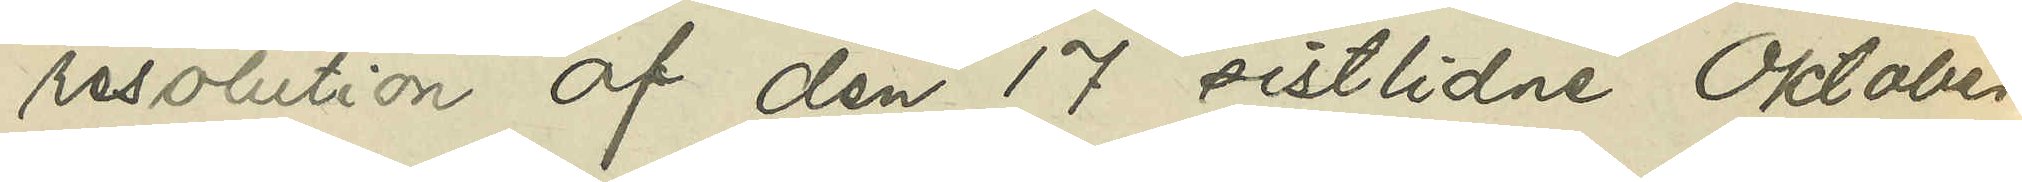resolution af den 17 sistlidne Oktober,
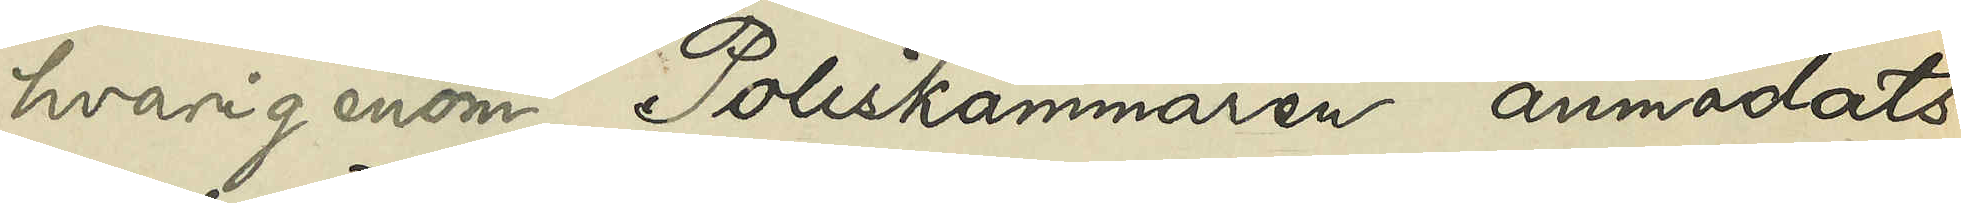hvarigenom Poliskammaren anmodats
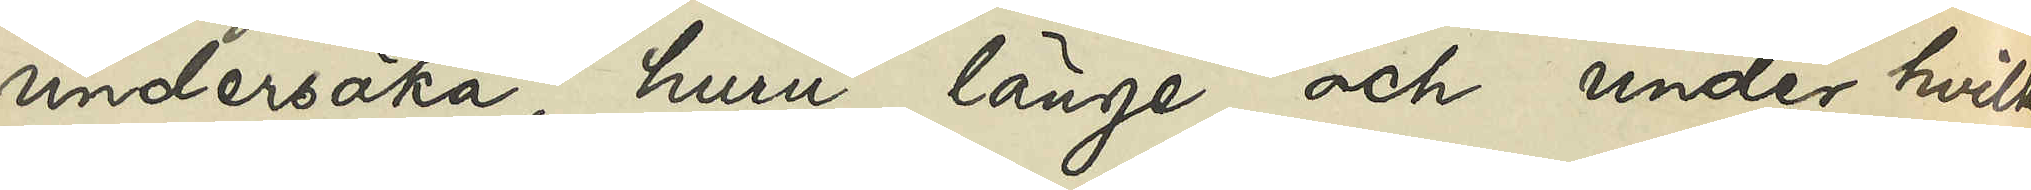undersöka, huru länge och under hvilka
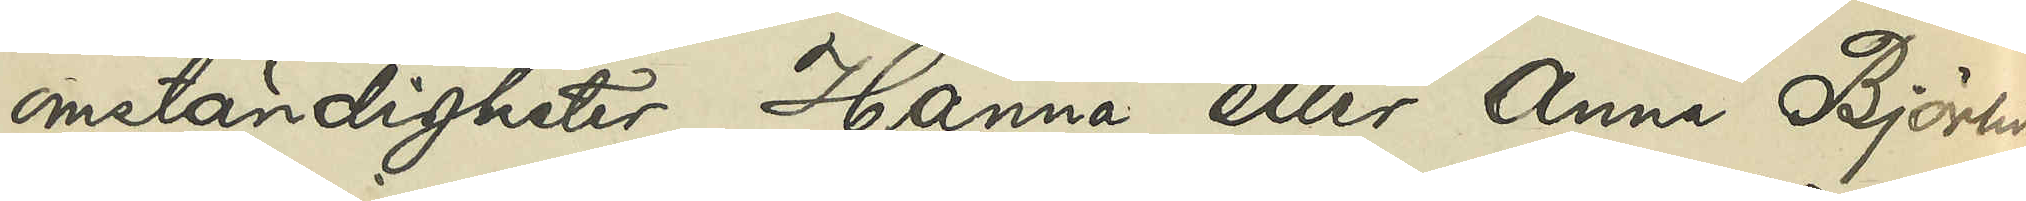omständigheter Hanna eller Anna Björlin
